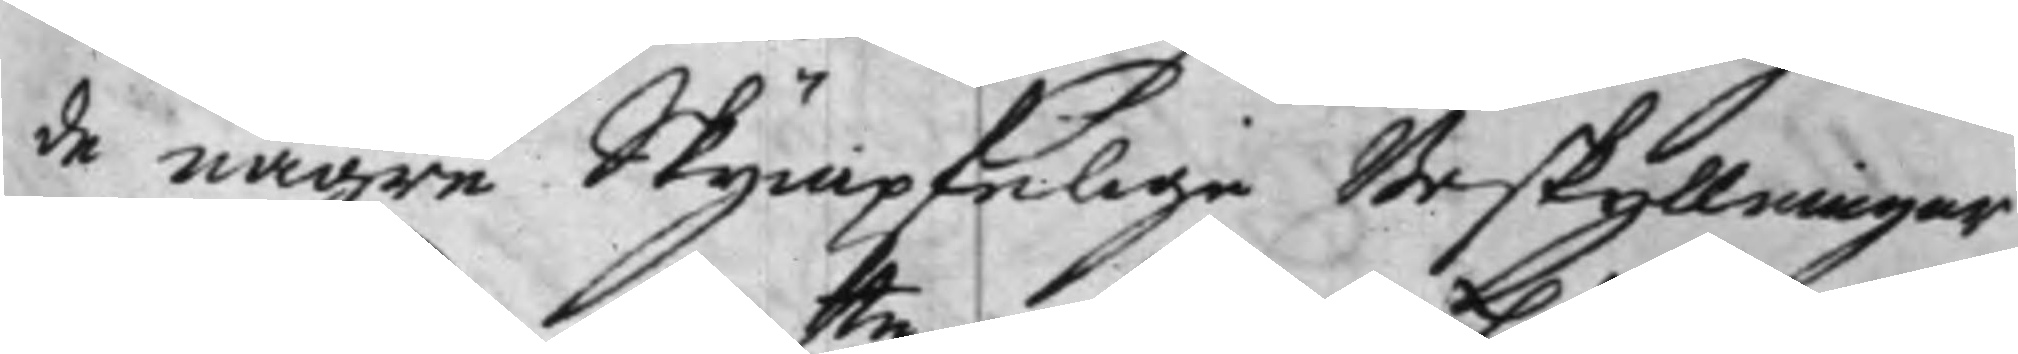de någre Skympfelige Beskyllningar
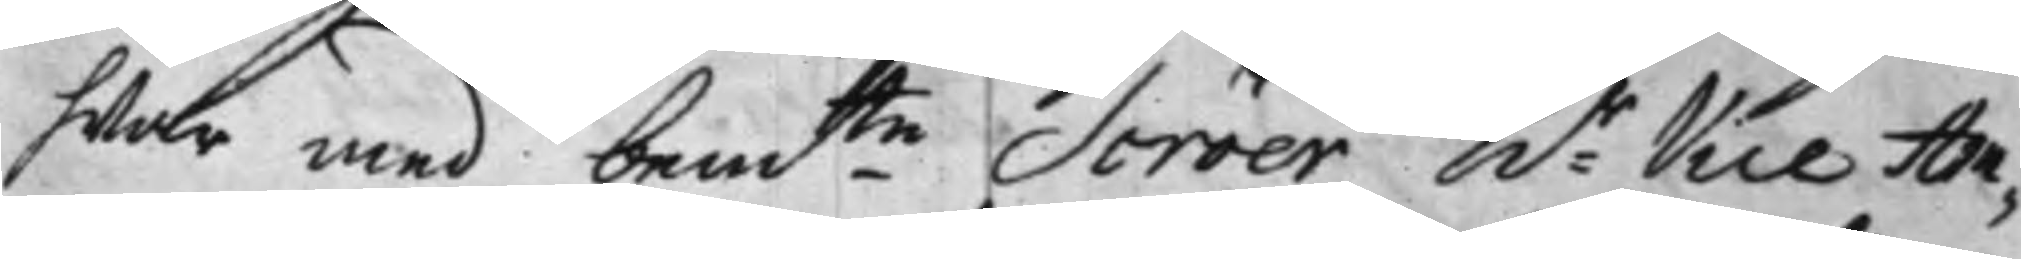hwar med bemte Scröer hr Vice Am¬
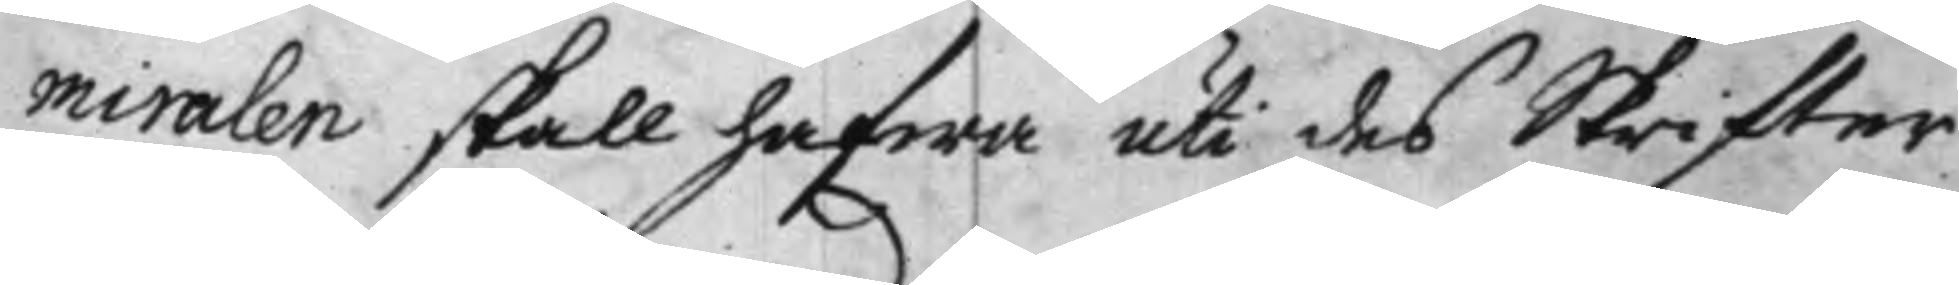miralen skall hafwa uti des Skrifter
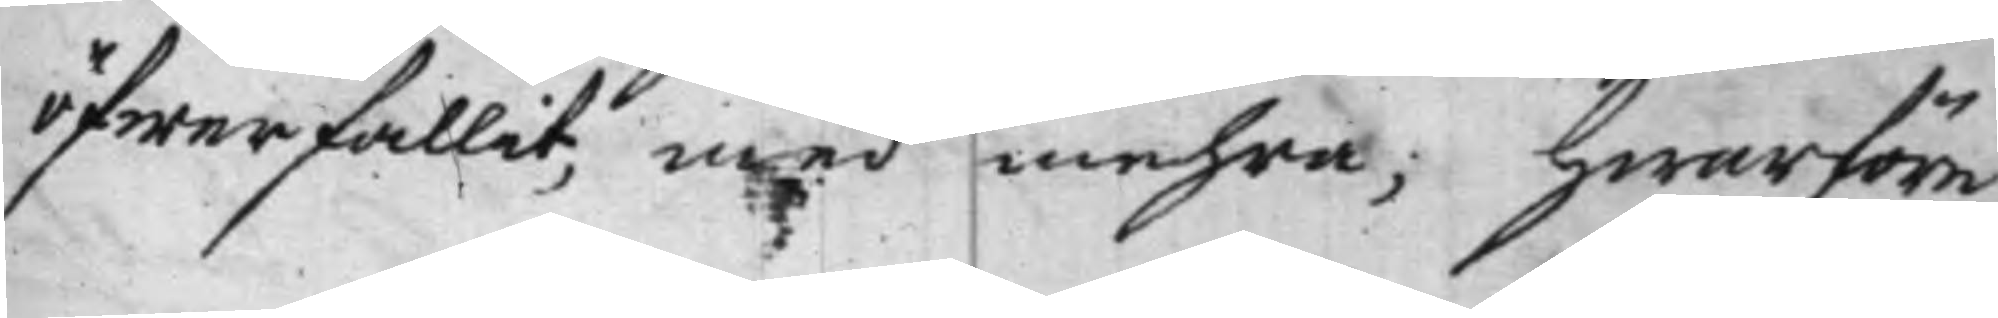öfwerfallit, med mehra, hwarföre
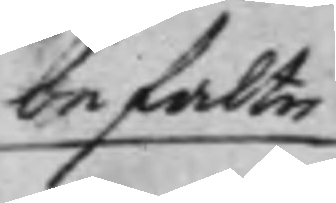befalte
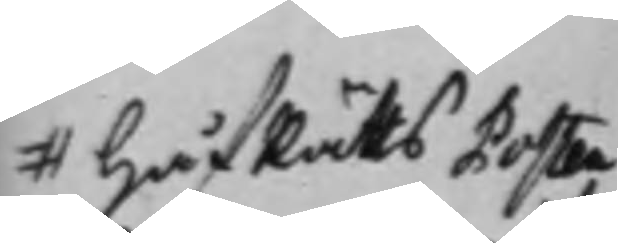# HåfRätts Posten
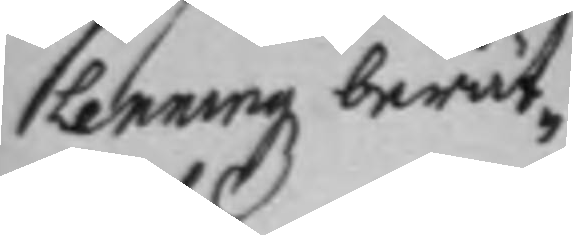Lenningz berät¬
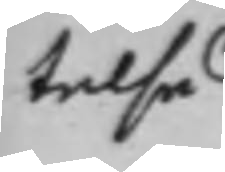telse
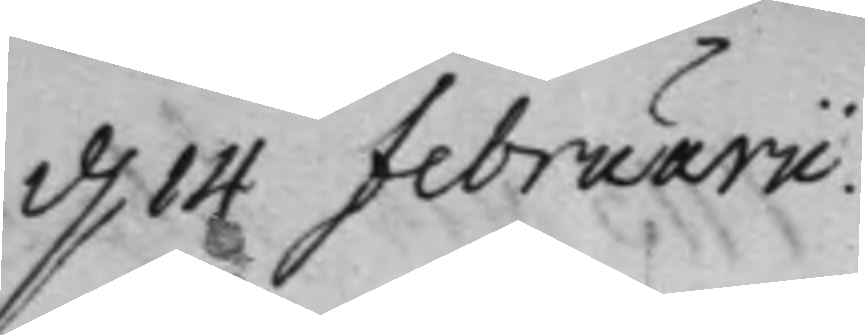d. 14 februarii.
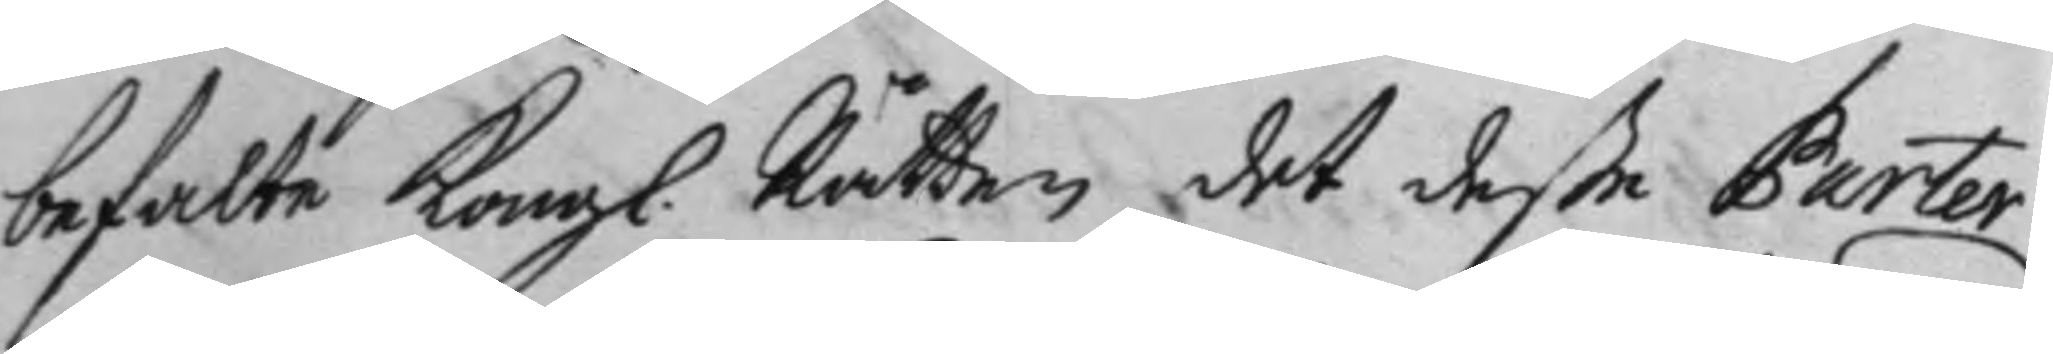befalte Kongl. Rätten det deße Parter
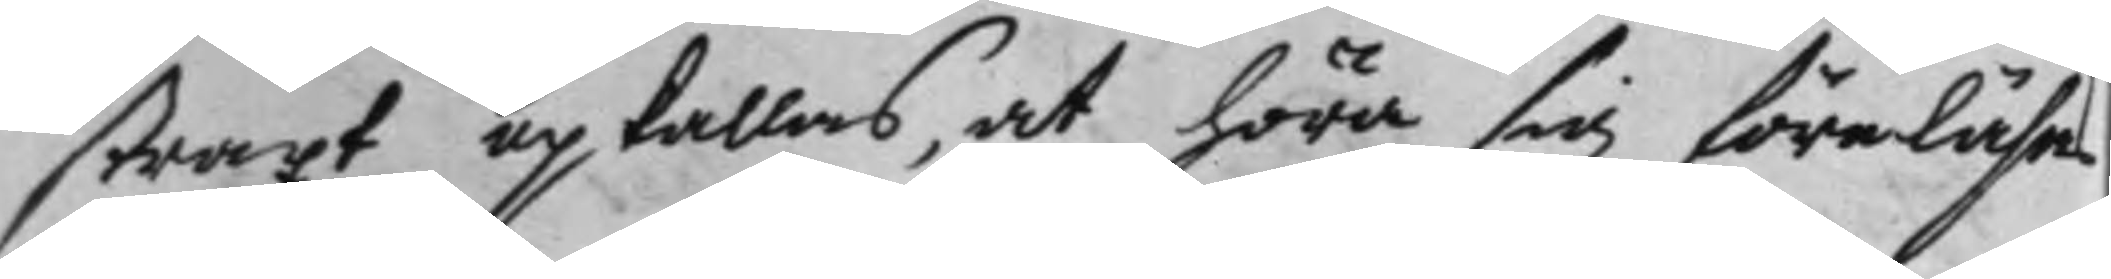straxt upkallas, at höra sig föreläsa
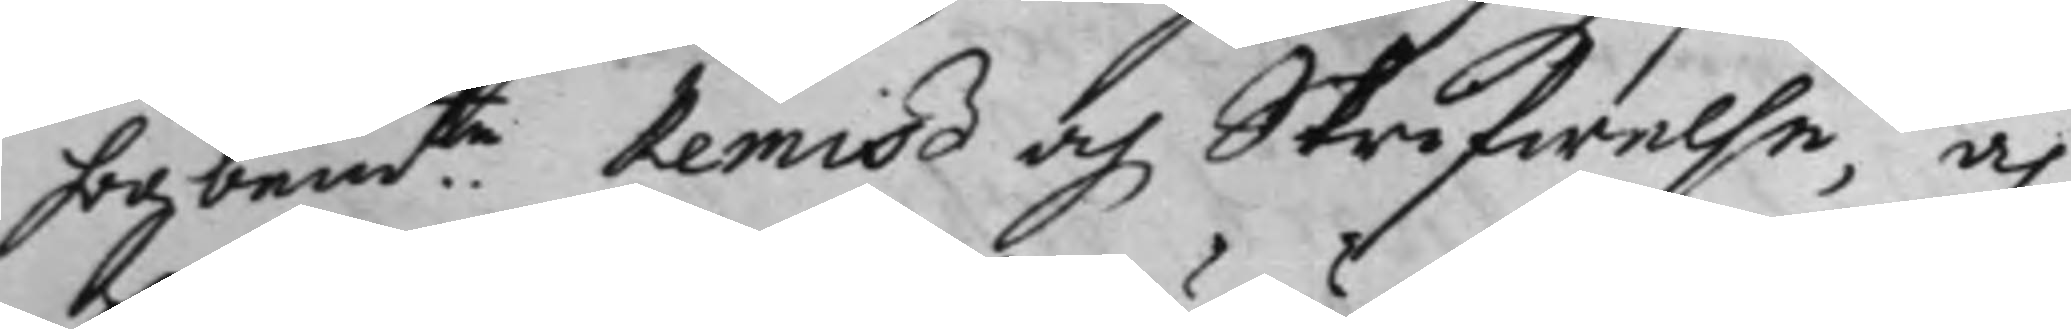högbemte Remiß och Skrifwelse, och
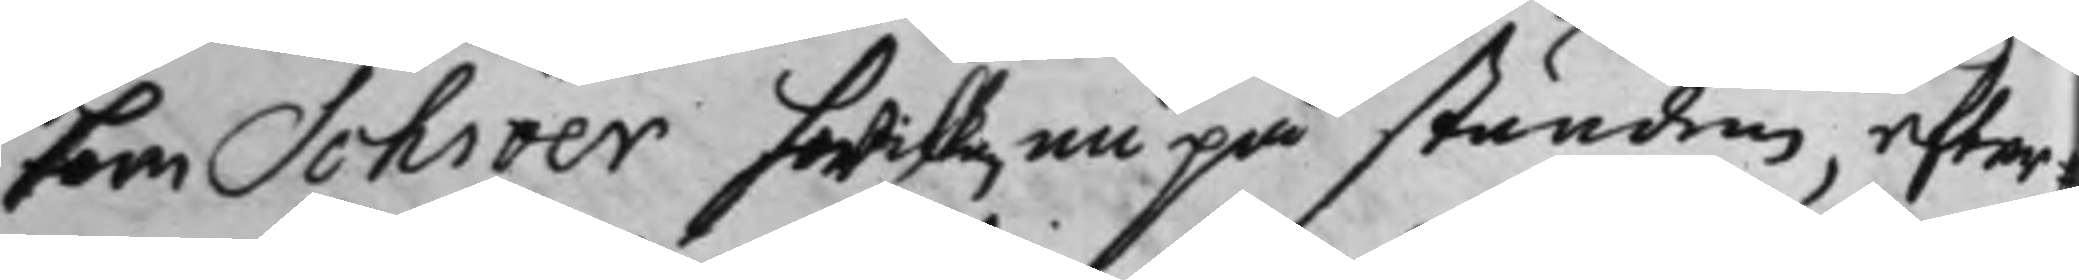som Schröer hwilken nu på stunden, efter #
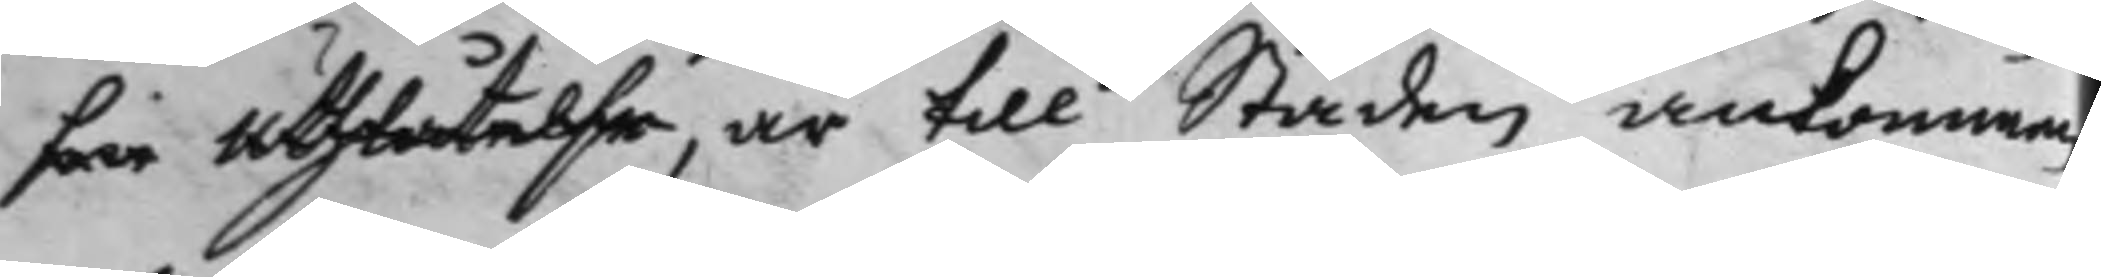sin uthlåtelse, är till Staden ankommen
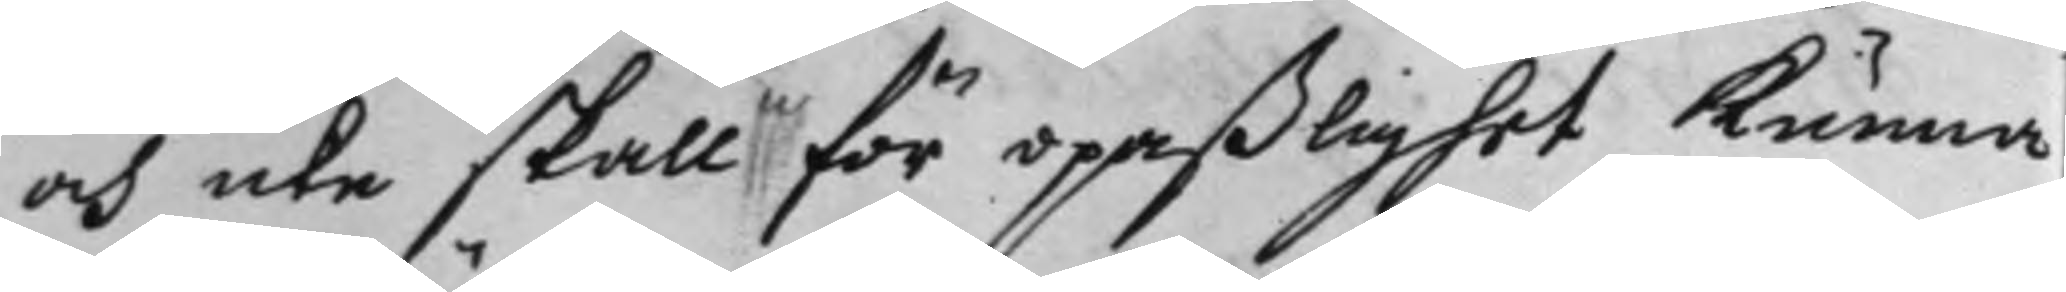och icke skall för opaßlighet kunna
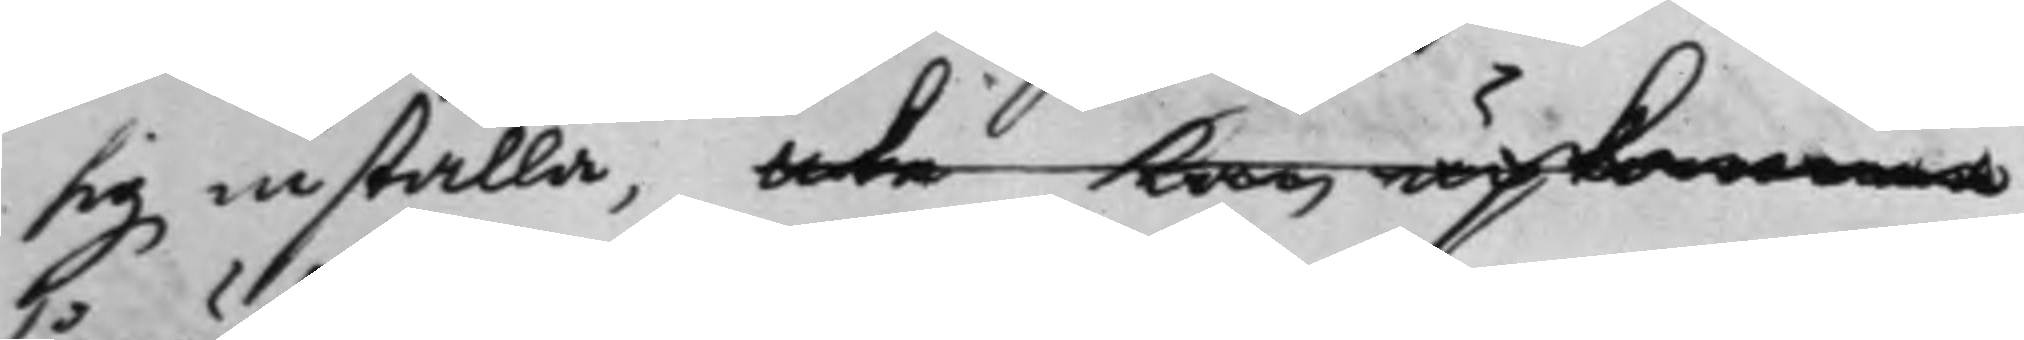sig inställa, icke kan upkomma,
